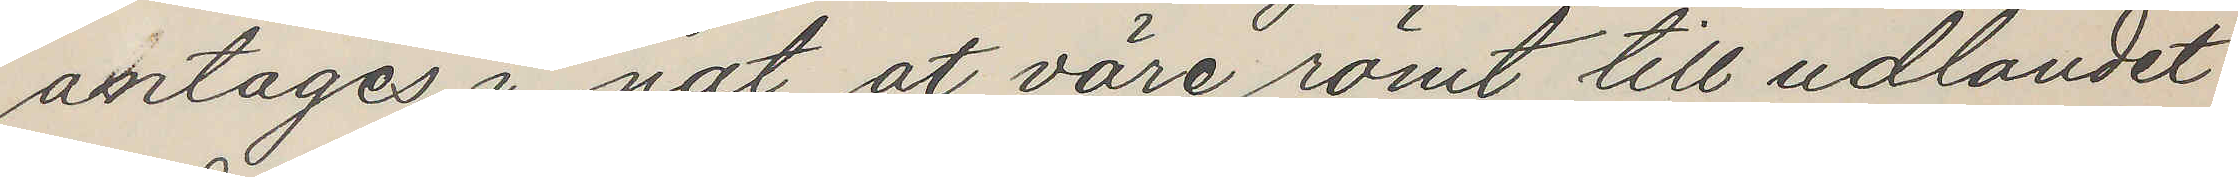antages i nat at väre römt till udlandet
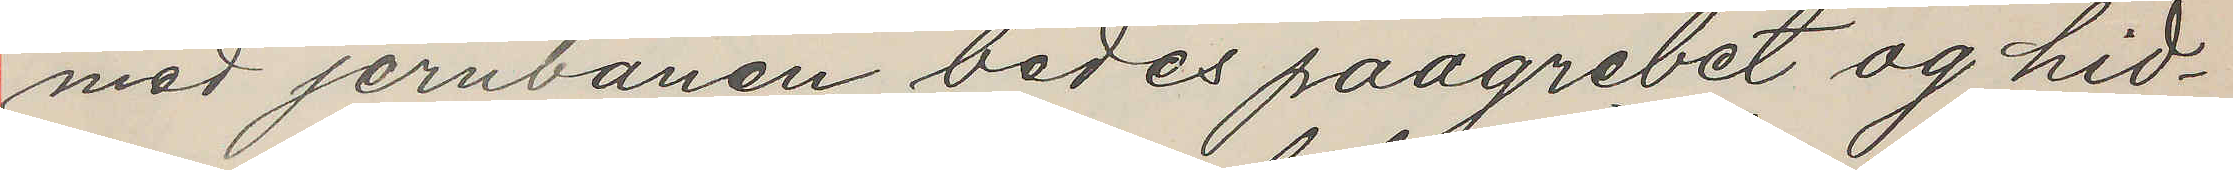med jernbanen bedes paagrebet eg hid¬
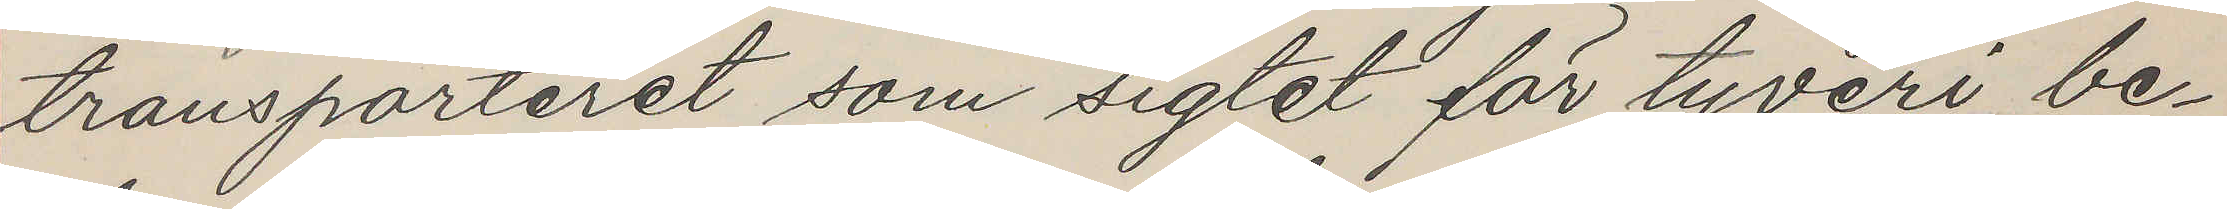transporteret som sigtet för tyveri be¬
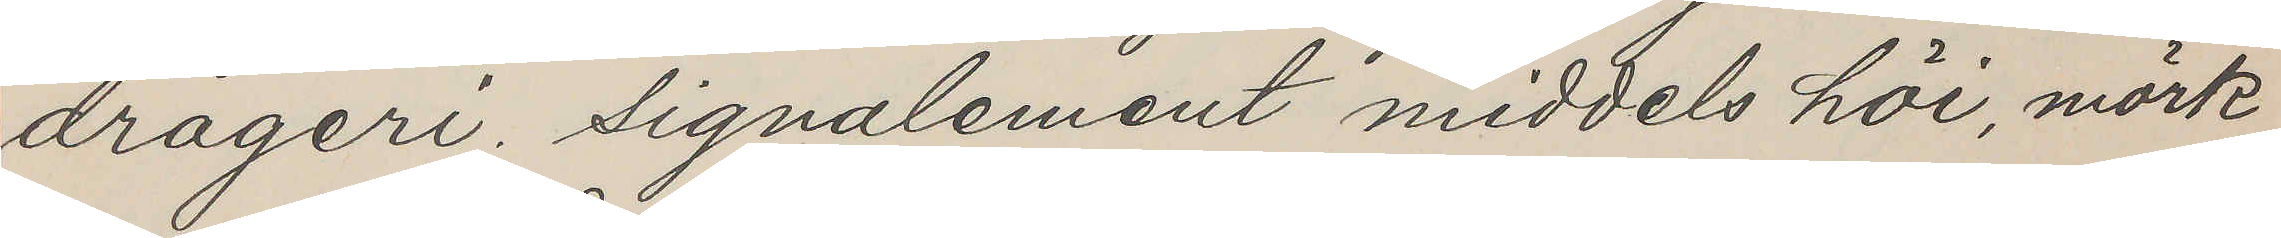drageri. Signalement middels höi, mörk
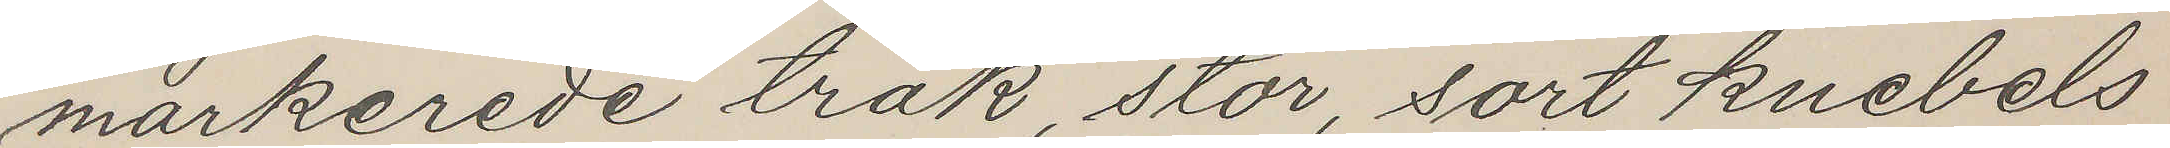markerede träk, stor, sort knebels
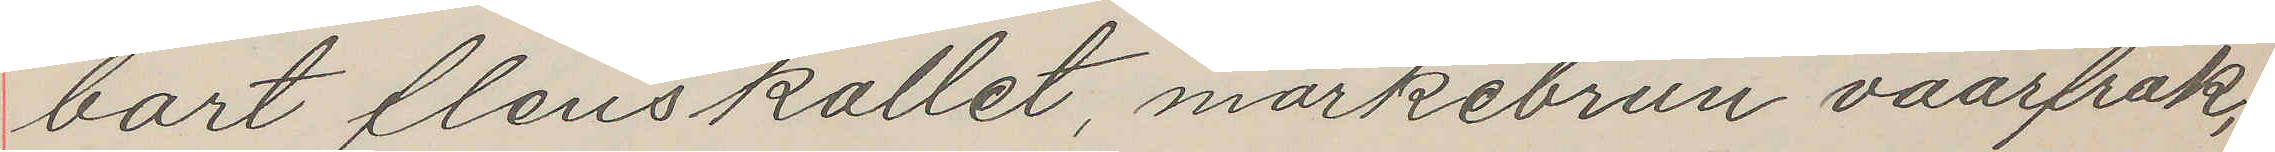bart flenskallet, mörkebrun vaarfrak,
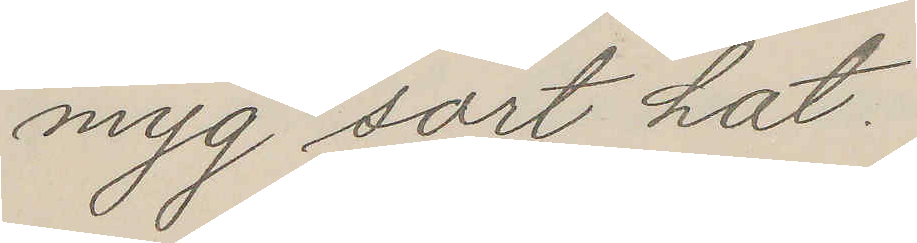snyg sort hat
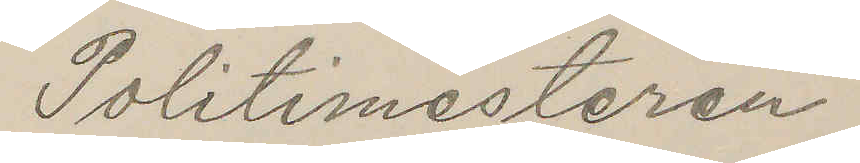Politimesteren
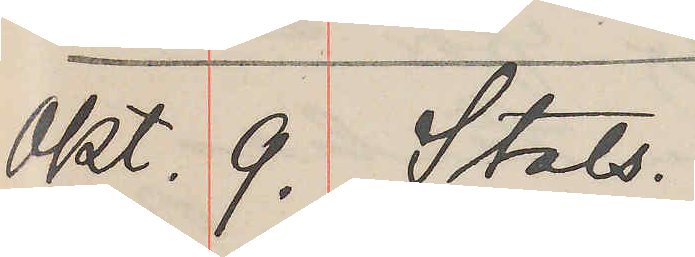Okt. 9. Stats.
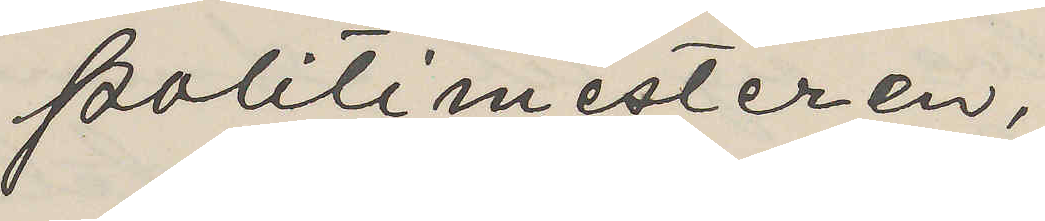Politimesteren,
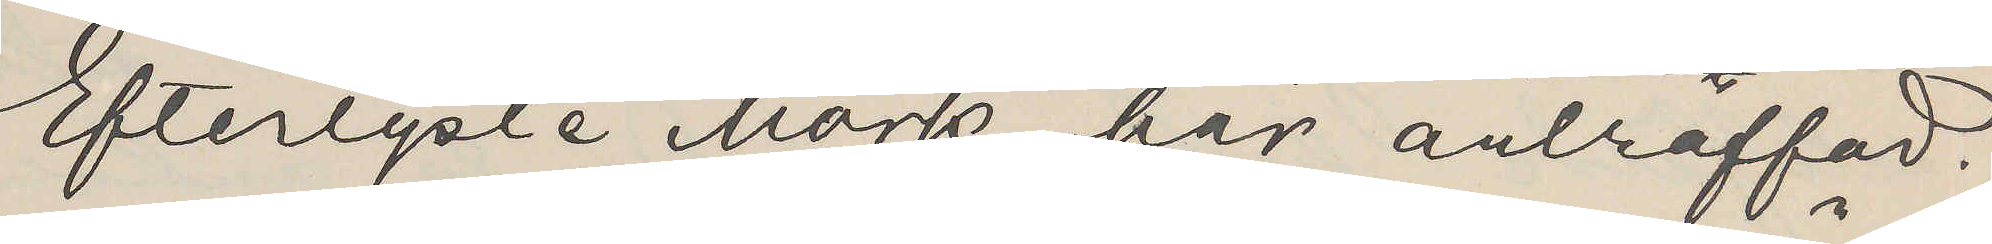Efterlyste Mörk här anträffad.
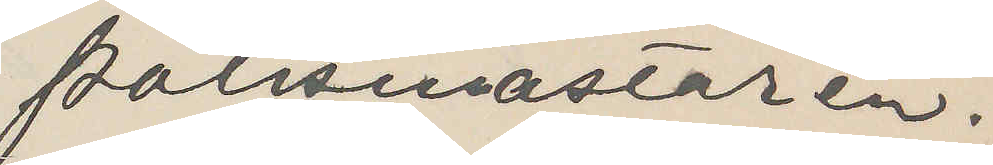Polismästaren.
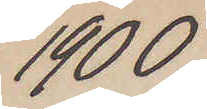1900
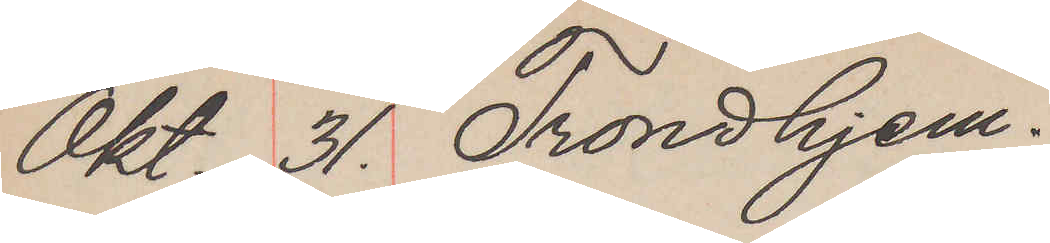Okt. 31. Trondhjem.
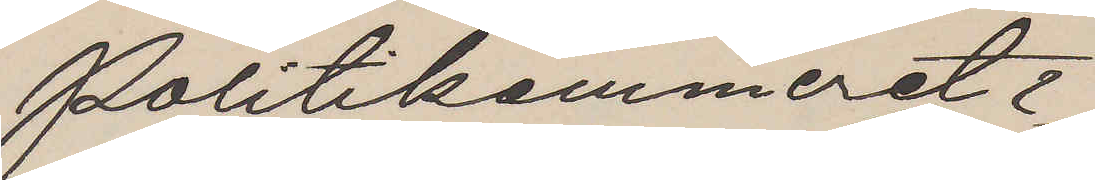Politikammeret.
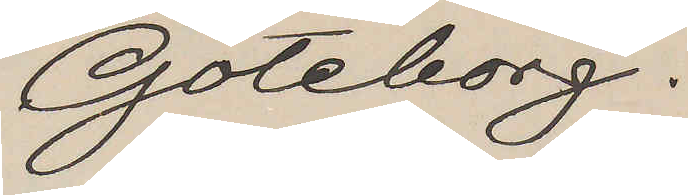Göteborg.
